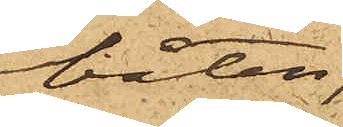båten;
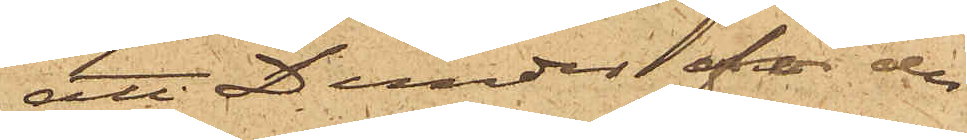att Dunder för de
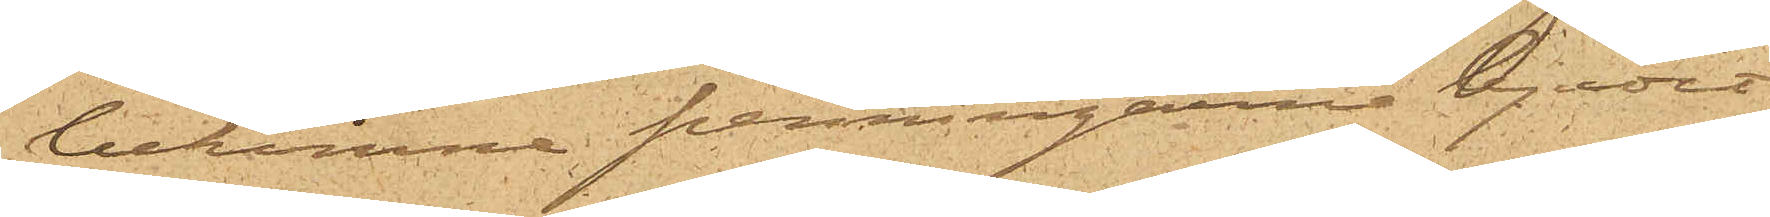bekomne penningarne bjudit
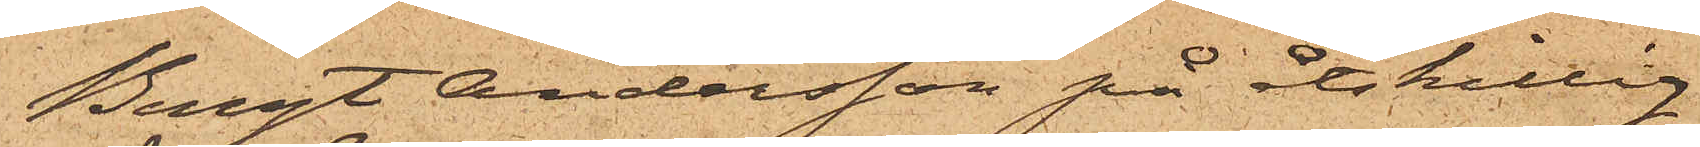Bengt Andersson på åtskillig
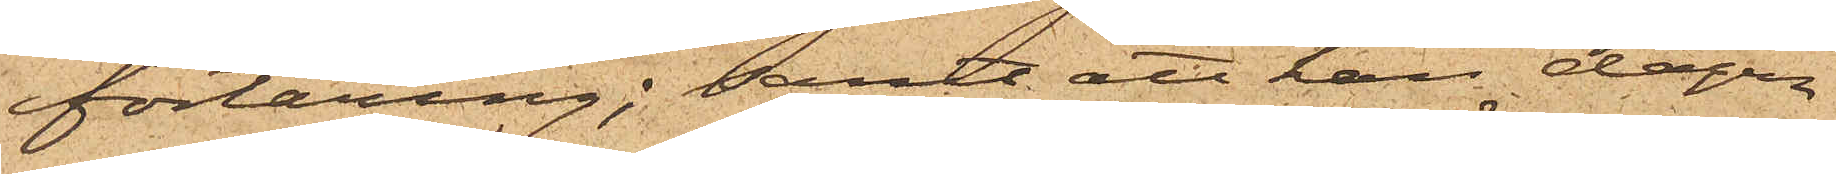förtäring; samt att han dagen
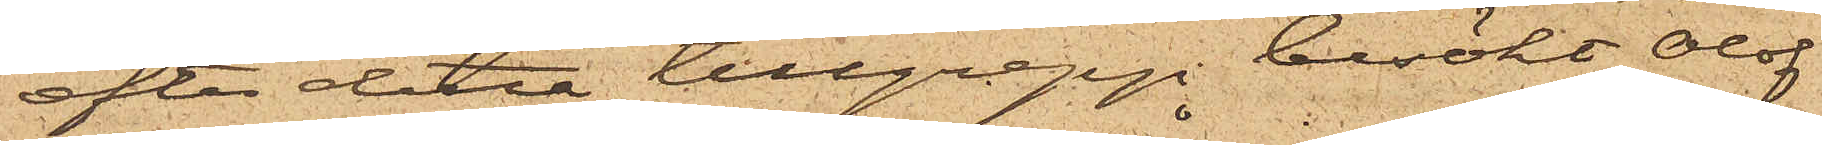efter detta tillgrepp besökt Olof
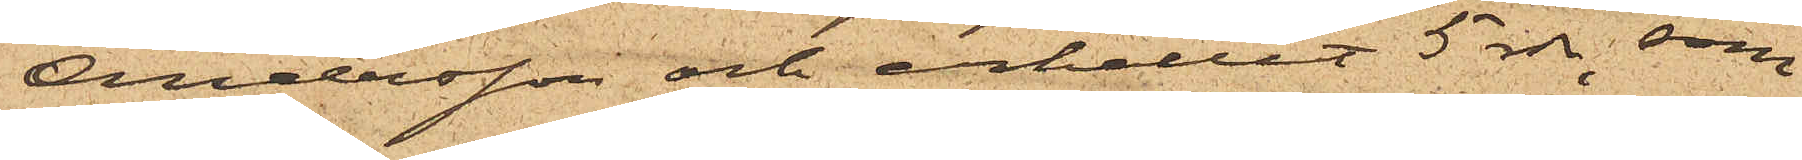Andersson och erhållit 5 rdr, som
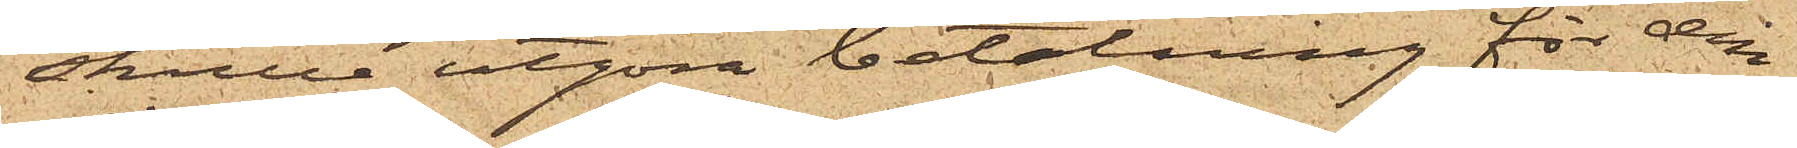skulle utgöra betalning för den
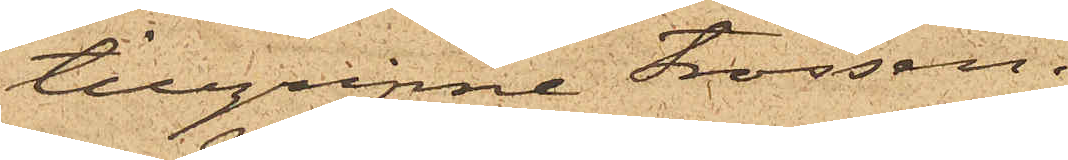tillgripne trossen.
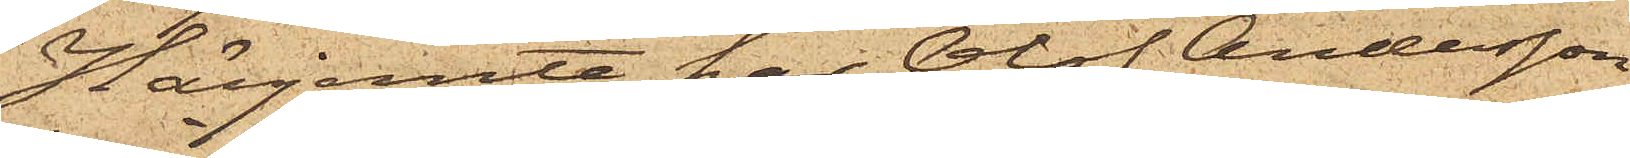Härjemte har Olof Andersson
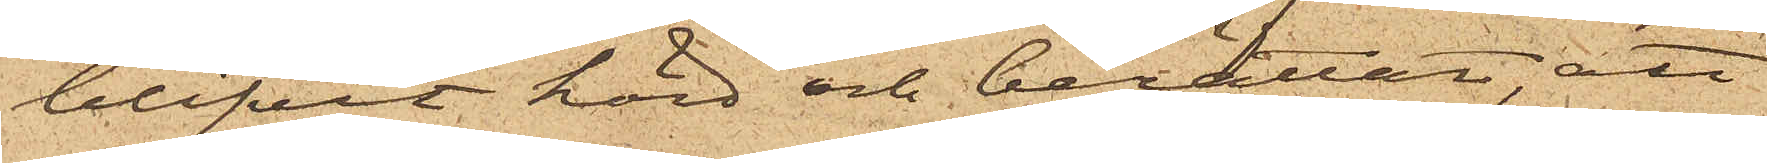blifvit hörd och berättat, att
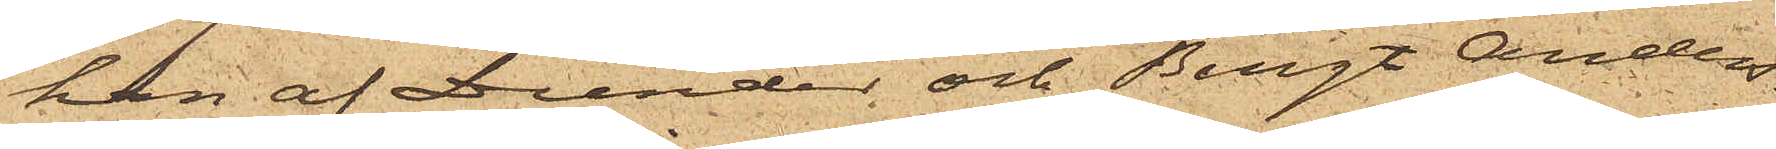han af Dunder och Bengt Anders¬
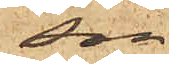son,
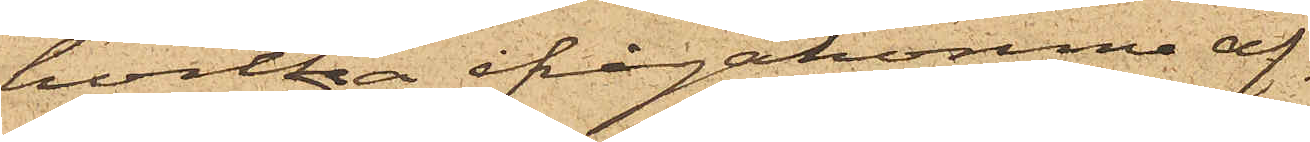hvilka ifrågakomne af¬
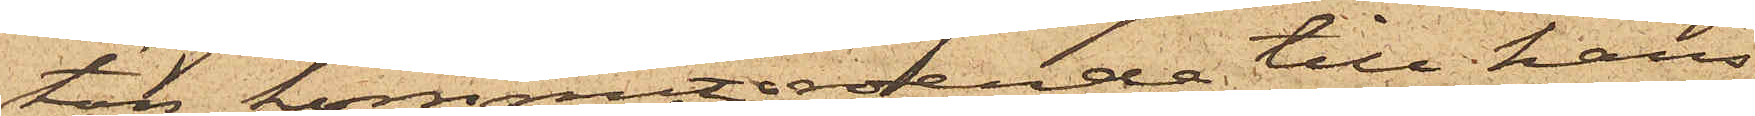ton kommit roende till hans
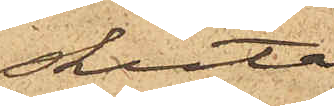skuta
